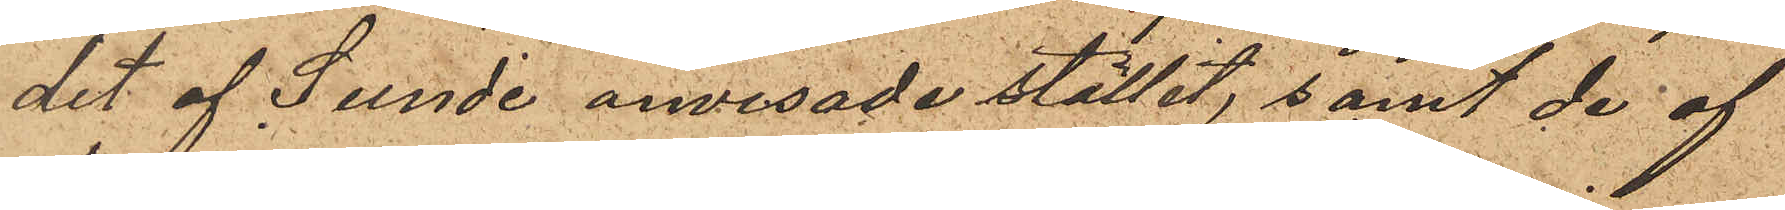det af Sunde anvisade stället, samt de af
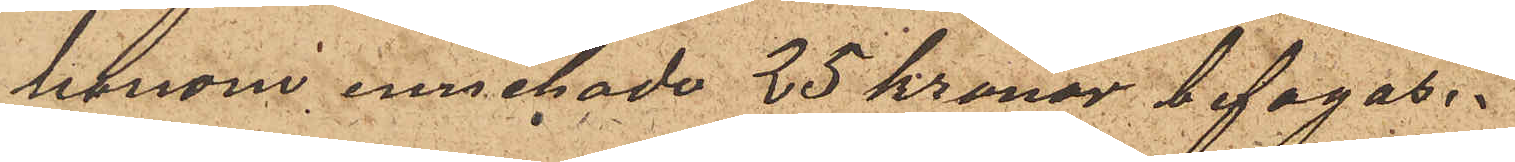honom innehade 25 kronor bifogas.
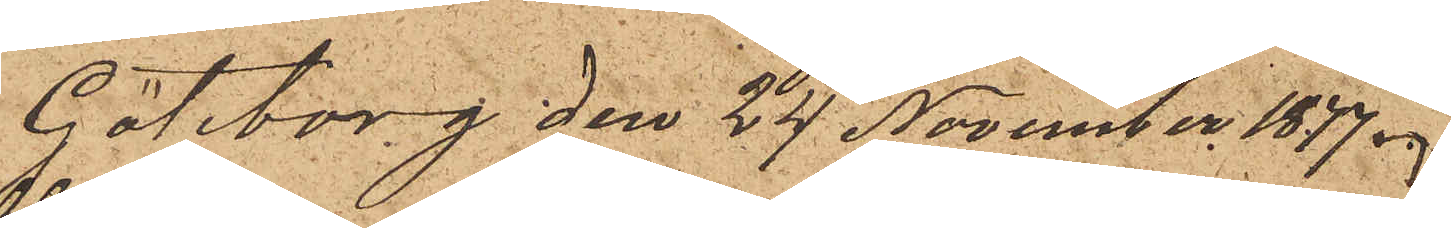Göteborg den 24 November 1877.
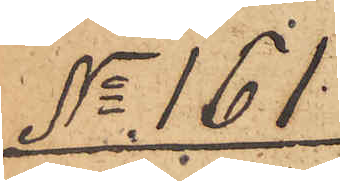No 161.
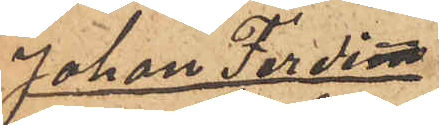Johan Ferdi¬
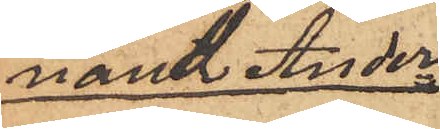nand Ander¬
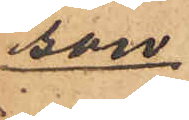son
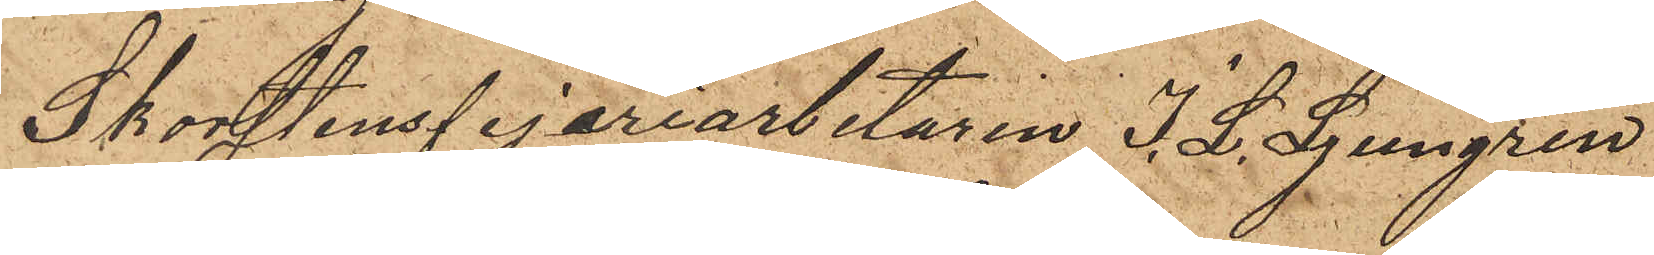Skorstensfejeriarbetaren J. L. Ljungren
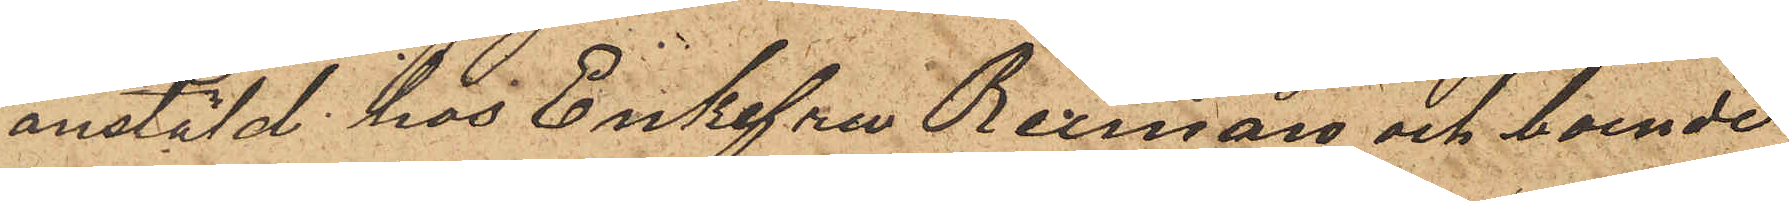anstäld hos Enkefru Reiman och boende
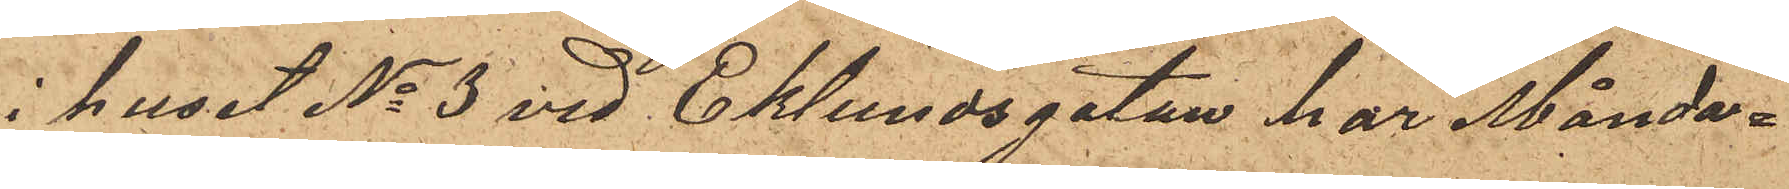i huset No 3 vid Eklundsgatan har Månda¬
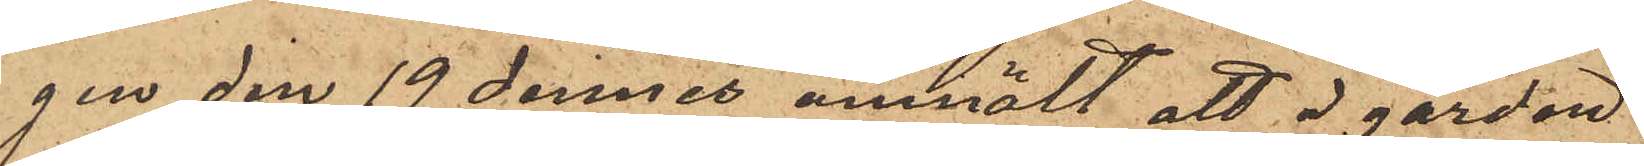gen den 19 dennes anmält att å gården
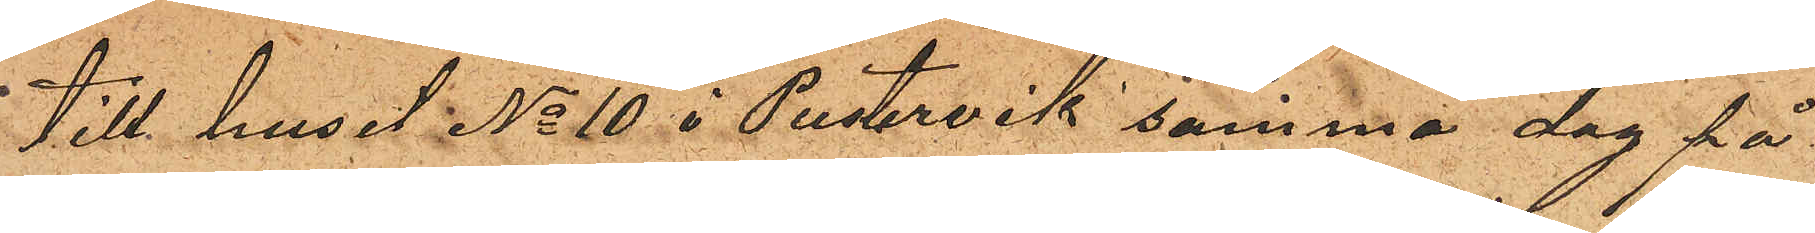till huset No 10 i Pustervik samma dag på
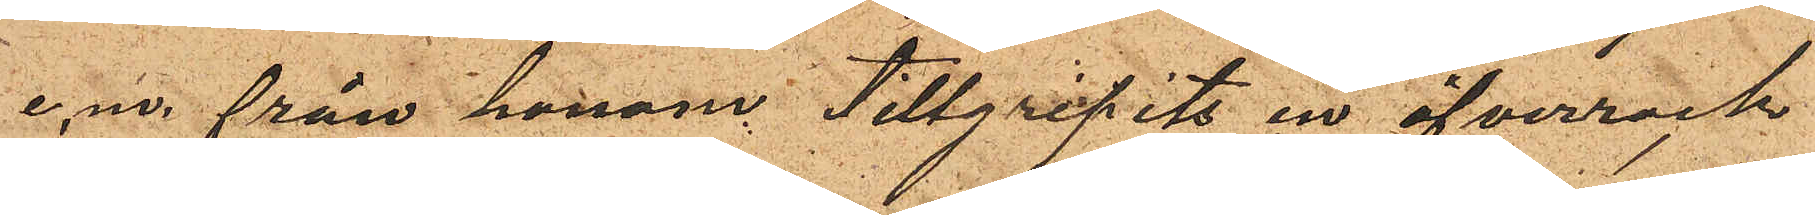e.m. från honom tillgripits en öfverrock
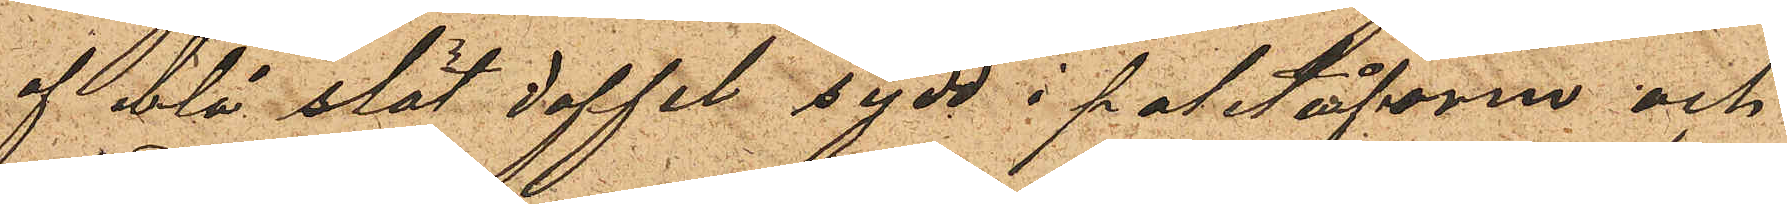af blå slät doffel sydd i paletåform och
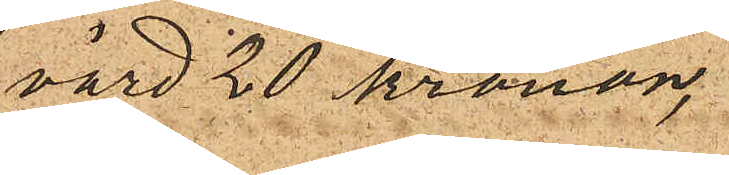värd 20 kronor,
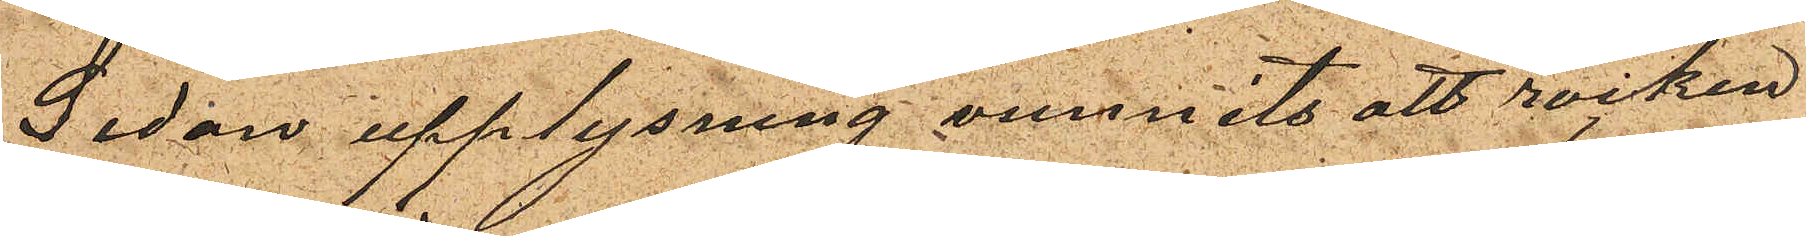Sedan upplysning vunnits att rocken
